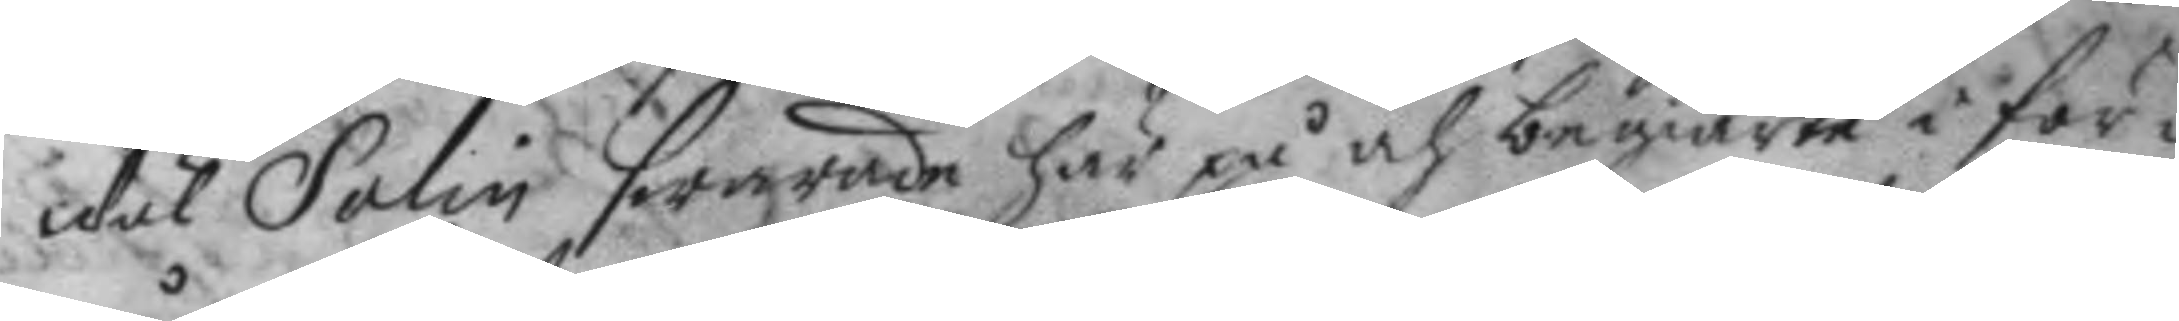wäl Salin swarade här på och begiärte i för¬
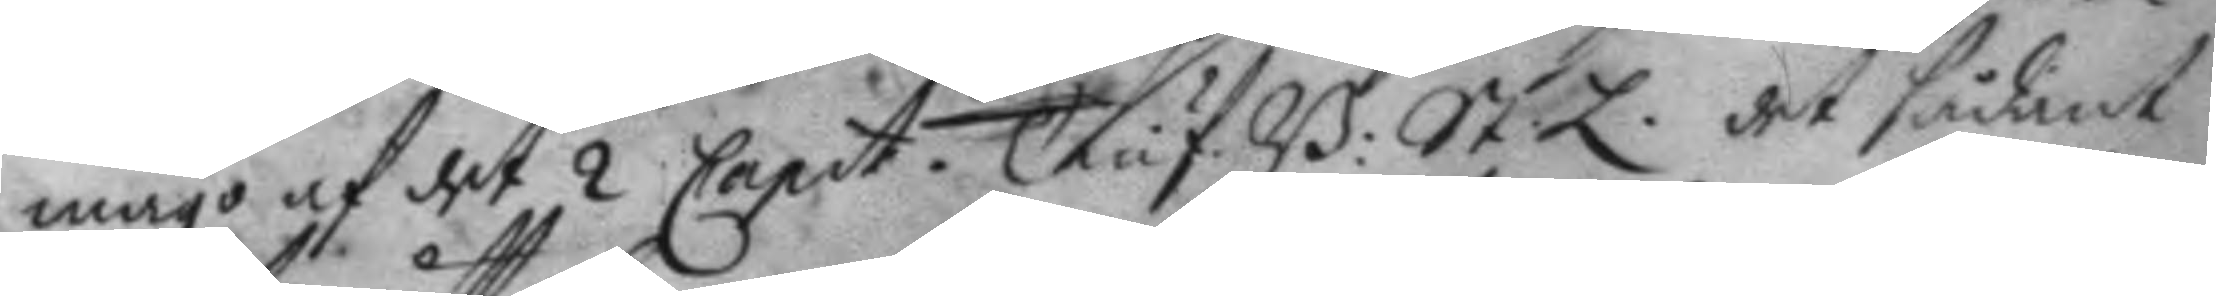mågo af det 2 Capit. Tiuf. B. St L det sådant 
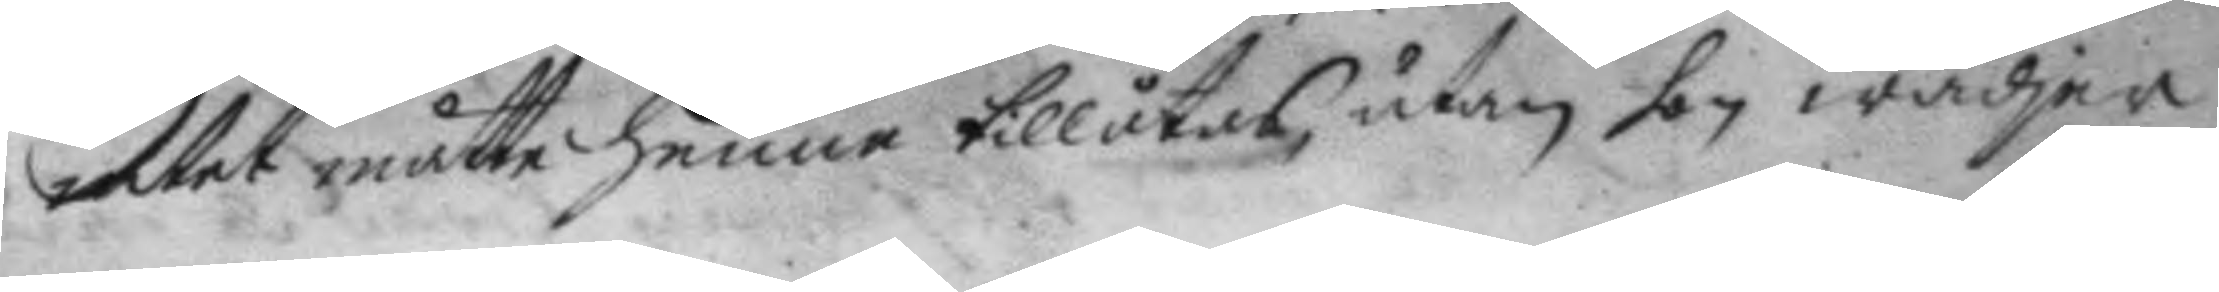intet måtte henne tillåtas, utan hon wädjer
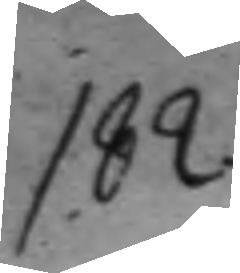182.
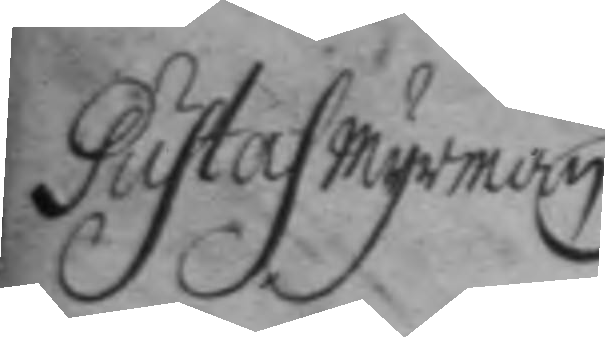Gustaf Myrman
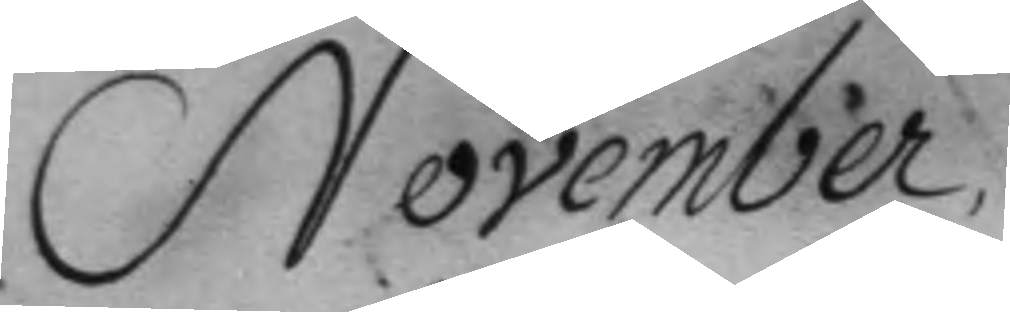November
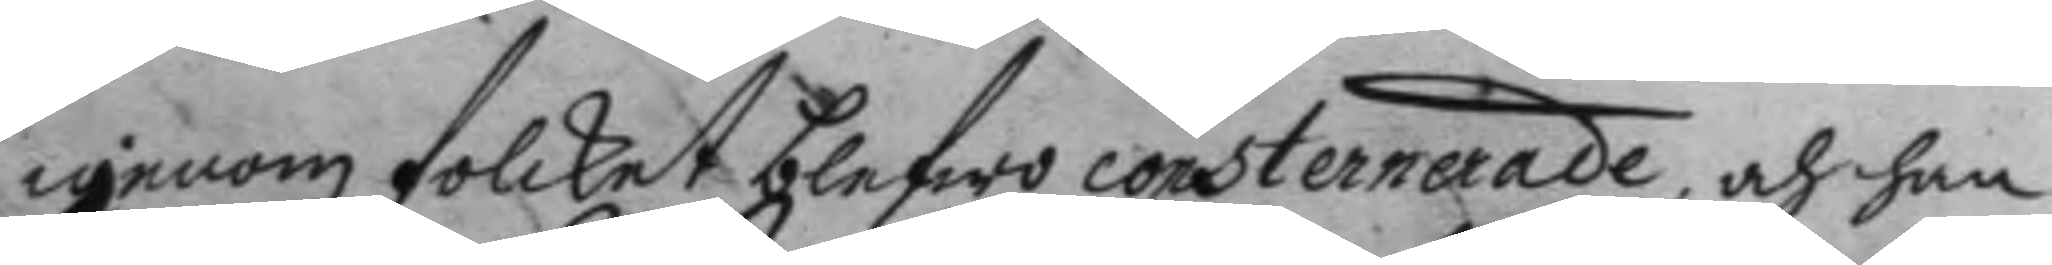igenom folcket blefwo consternerade, och han
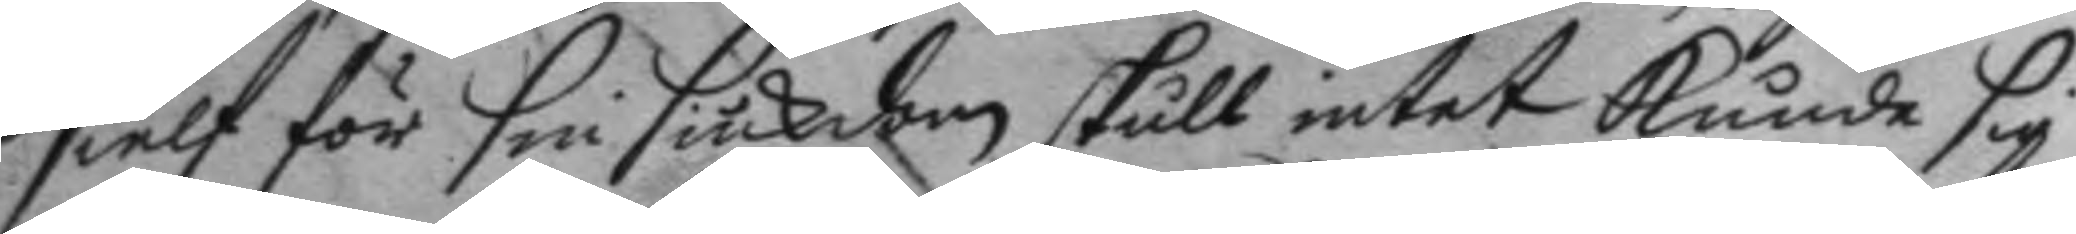sielf för sin siuckdom skull intet kunde sig
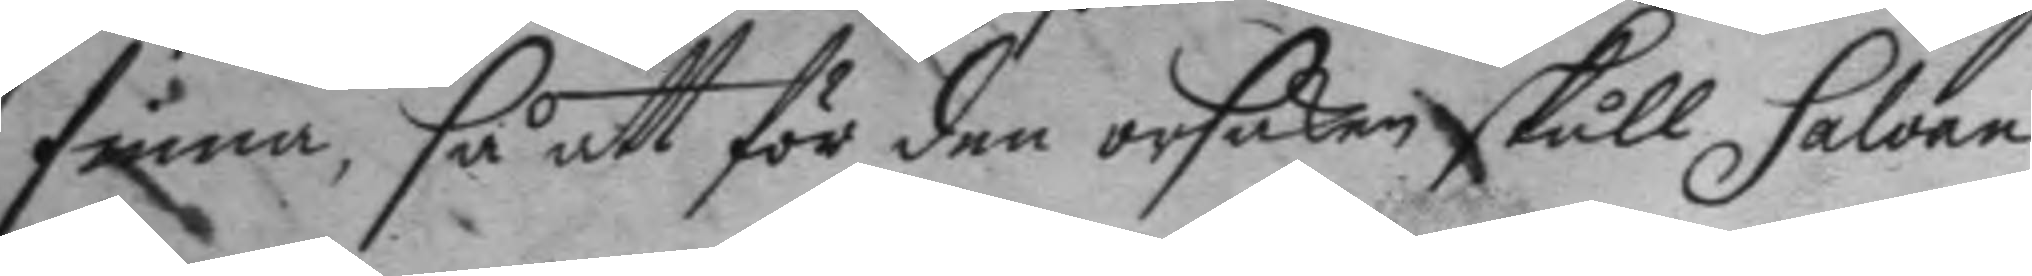finna, så att för de orsaken skull Salvan
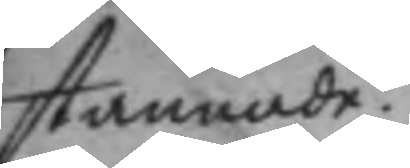stannade.
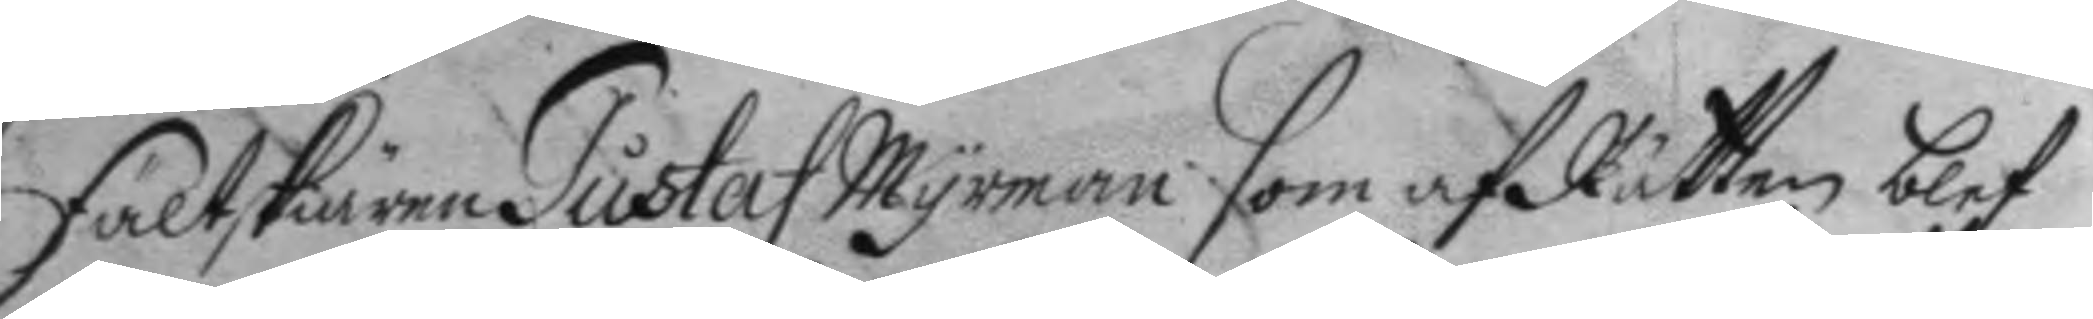Fältskiären Gustaf Myrman som af Rätten blef
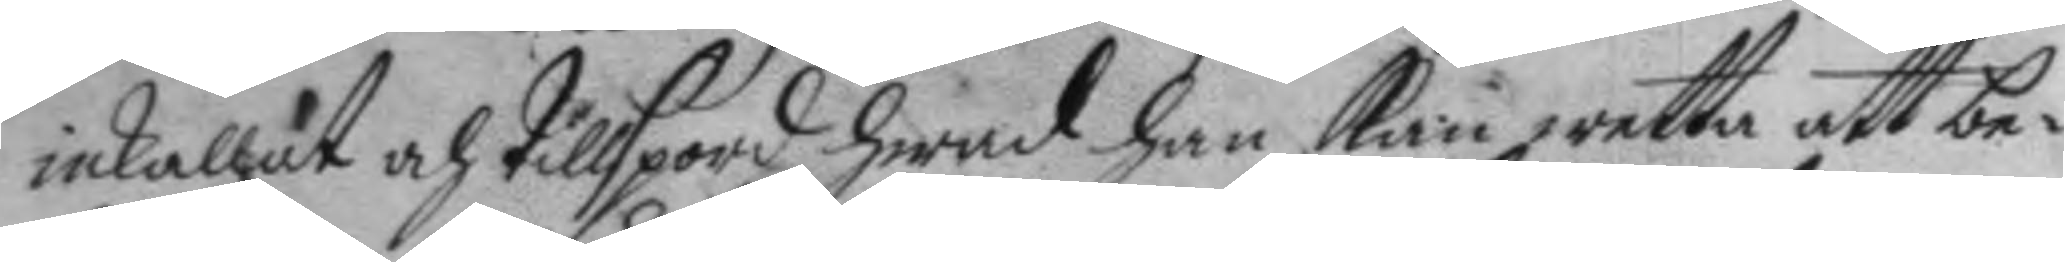inkallat och tillspord hwad han kan wetta att be¬
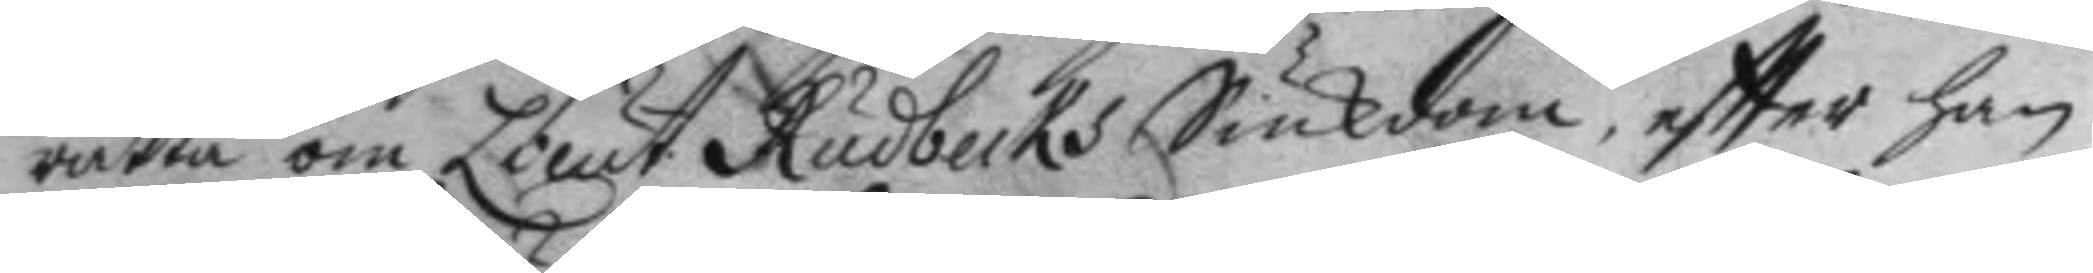rätta om Lieut. Rudbecks Siukdom, eftter han
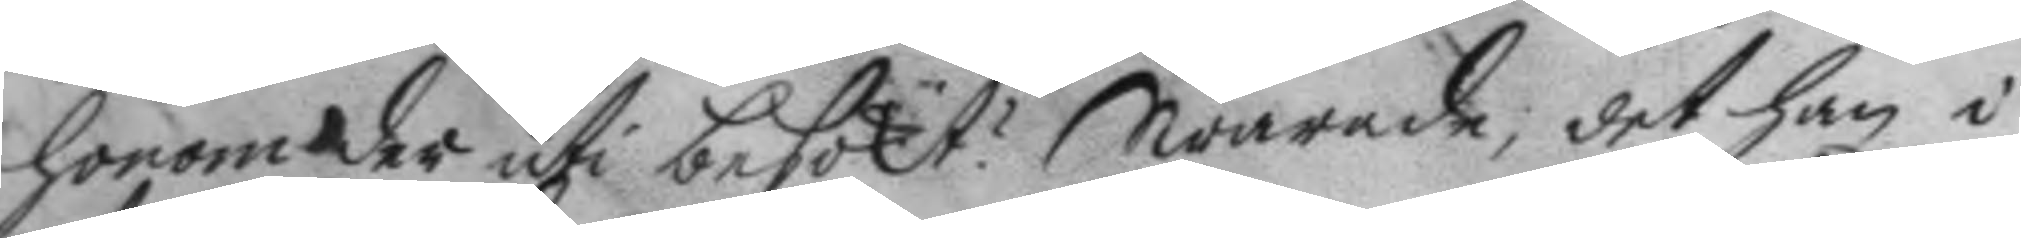honom der uti besökt? Swarade, det han i
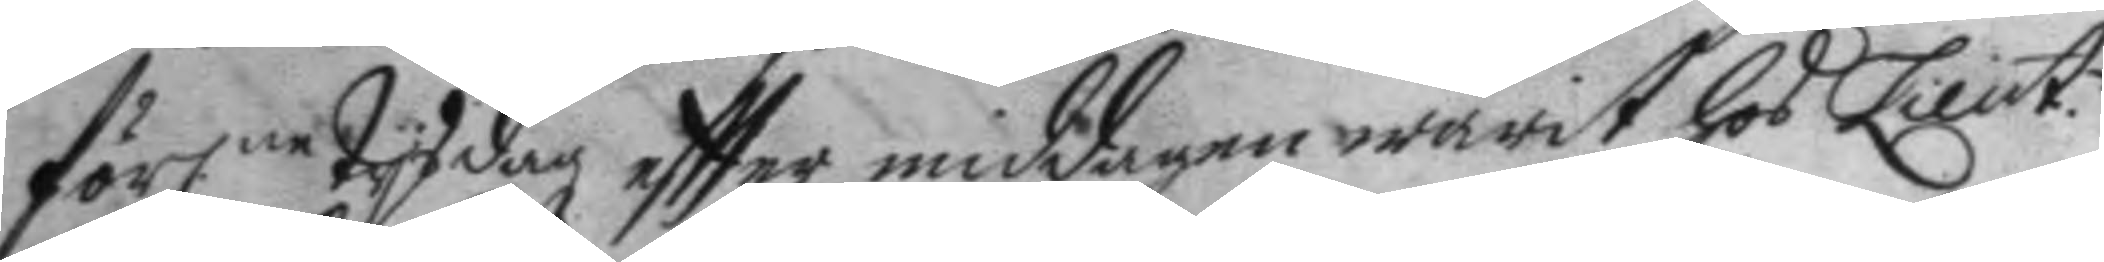förl.ne tysdag eftter middagen warit hos Lieut.n
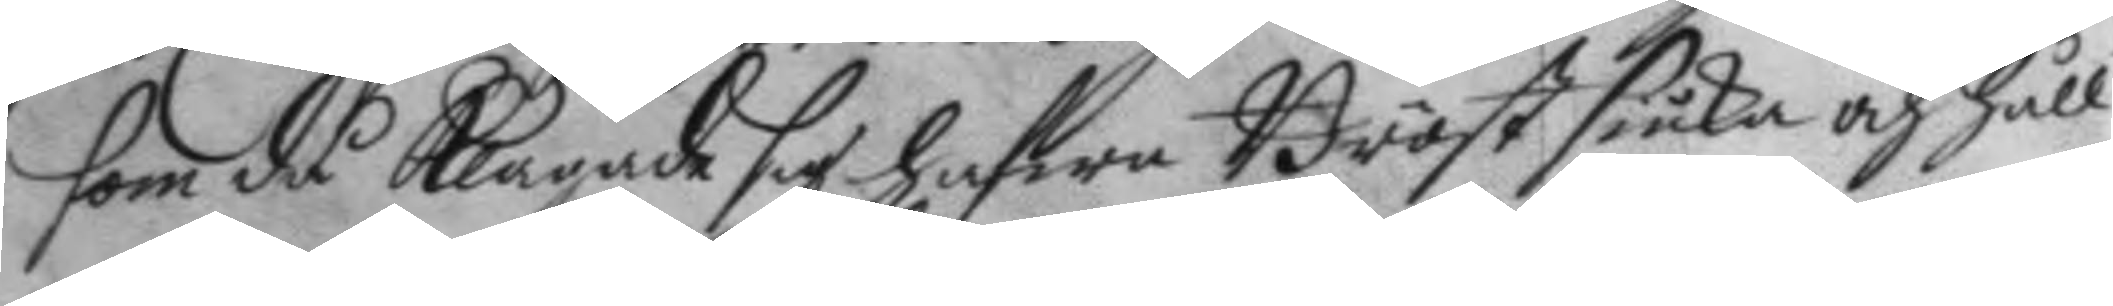som då klagade sig hafwa Bröstsiuka och håll
